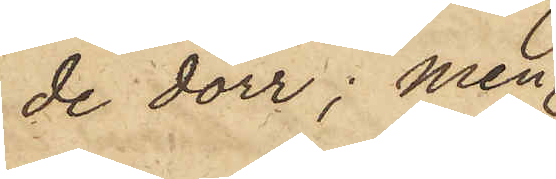de dörr; men
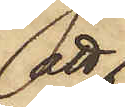att
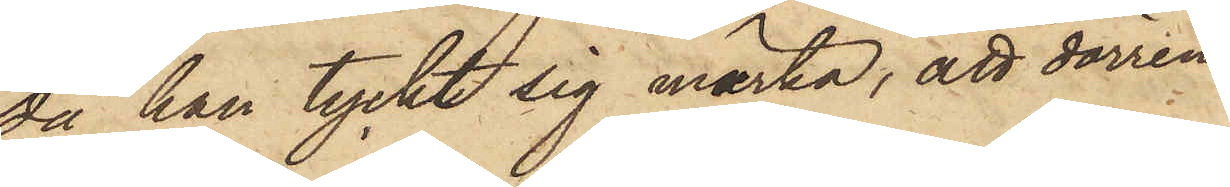då han tyckt sig märka, att dörren
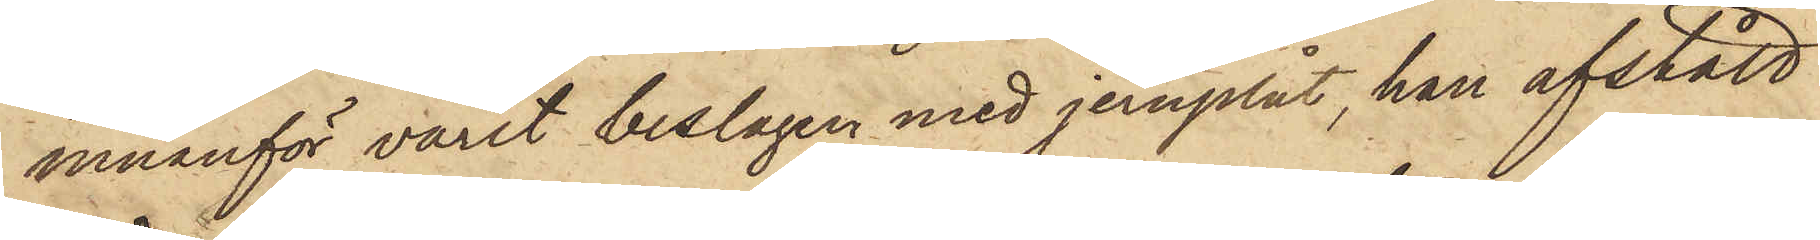innanför varit beslagen med jernplåt, han afstått
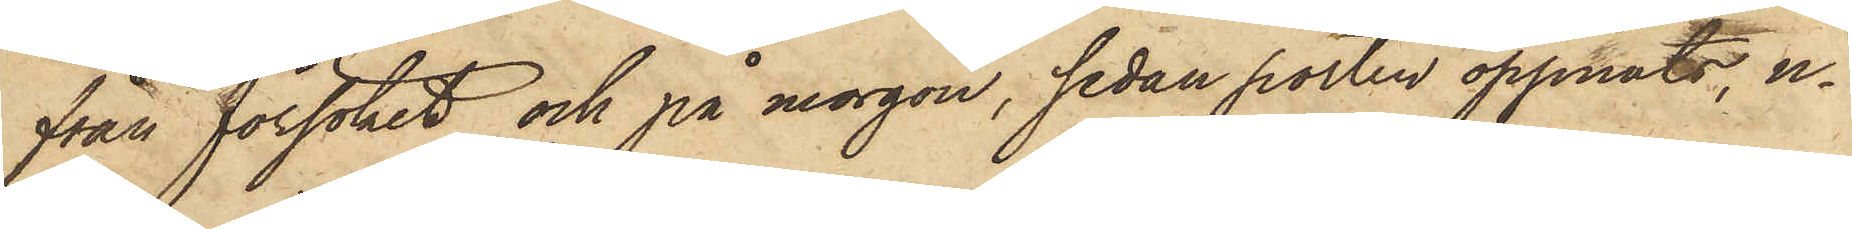från försöket och på morgon, sedan porten öppnats, u¬
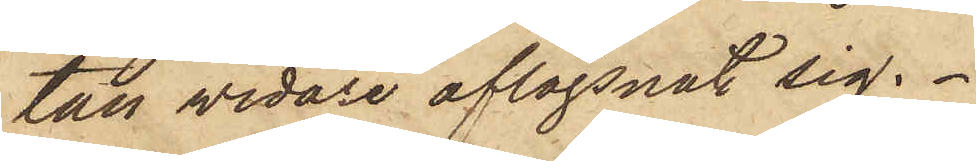tan vidare aflägsnat sig.
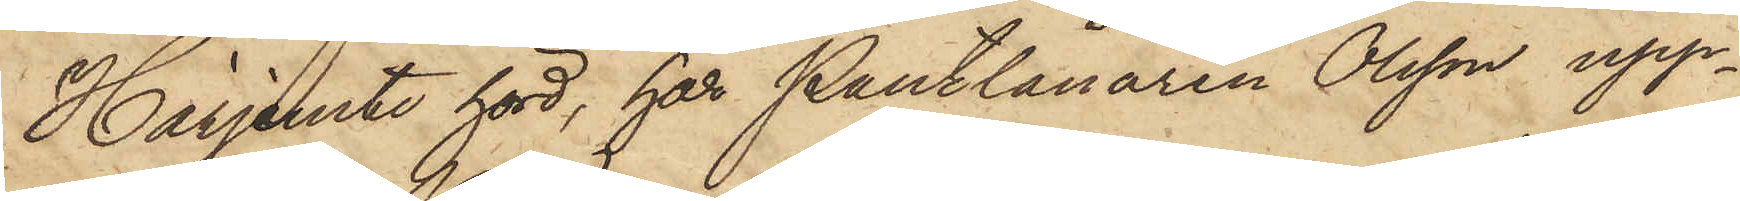Härjemte hörd, har Pantlånaren Olsson upp¬
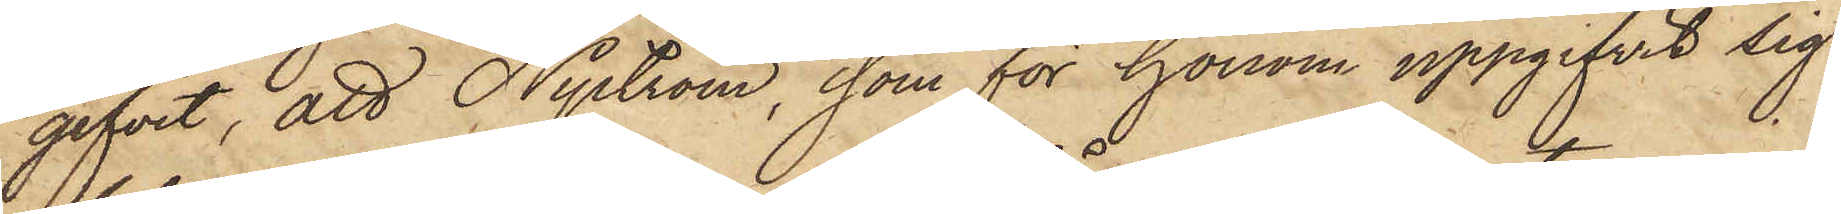gifvit, att Nyström, som för honom uppgifvit sig
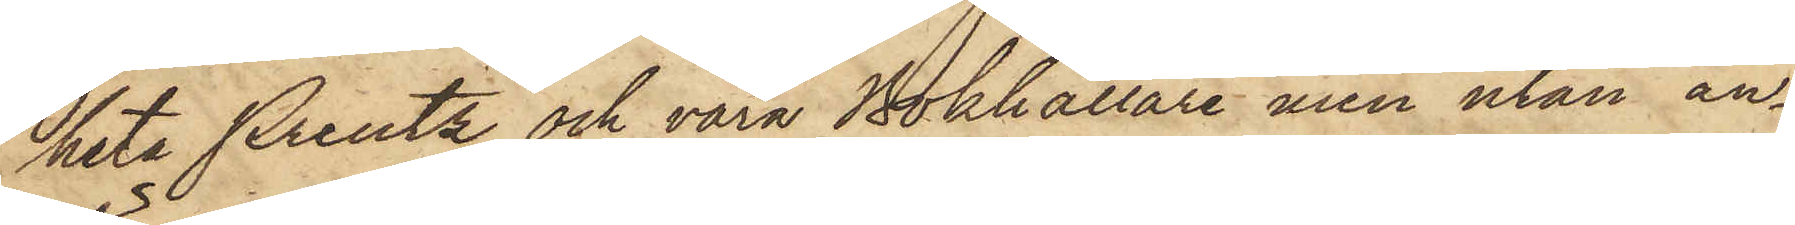heta Preutz och vara Bokhållare, men utan an¬
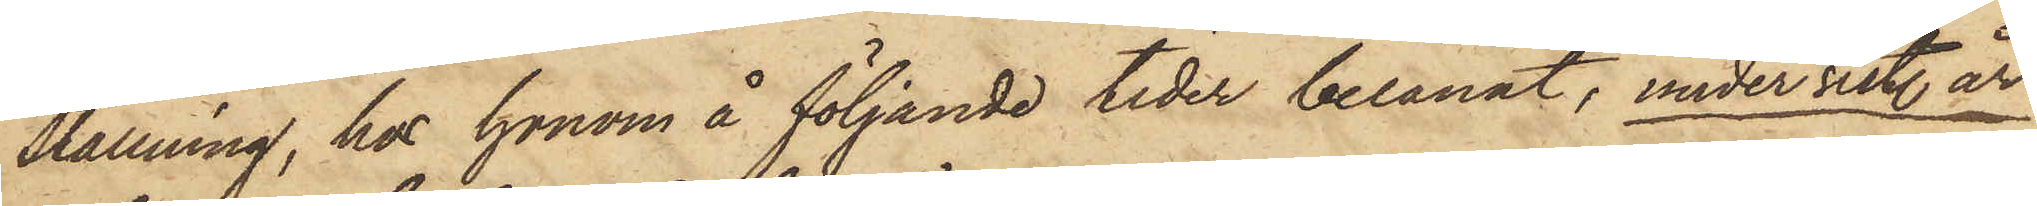ställning, hos honom å följande tider belånat, under sist. år:
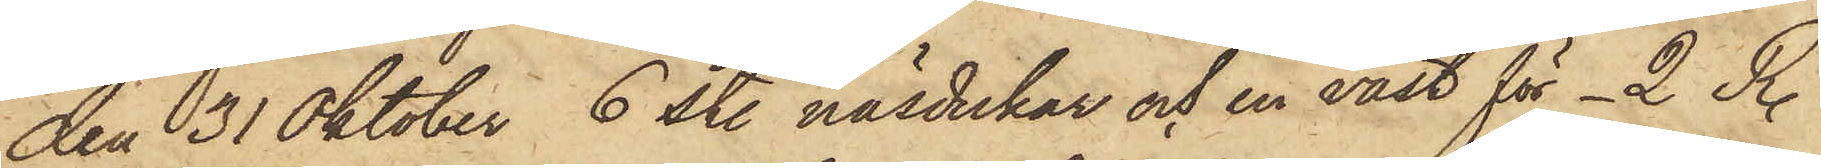den 31 Oktober 6 st. näsdukar och en väst för _2 R.
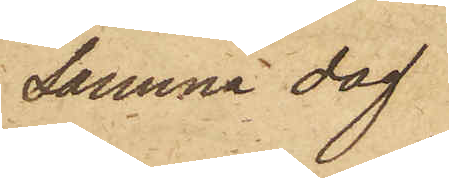Samma dag
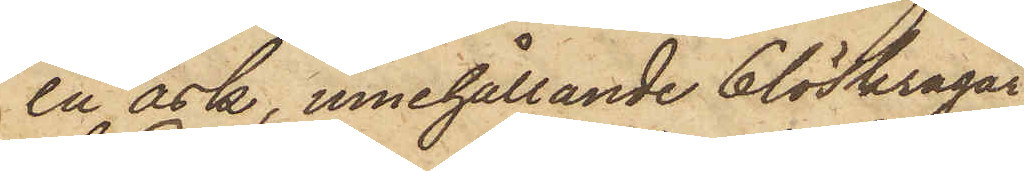en ask, innehållande 6 löskragar
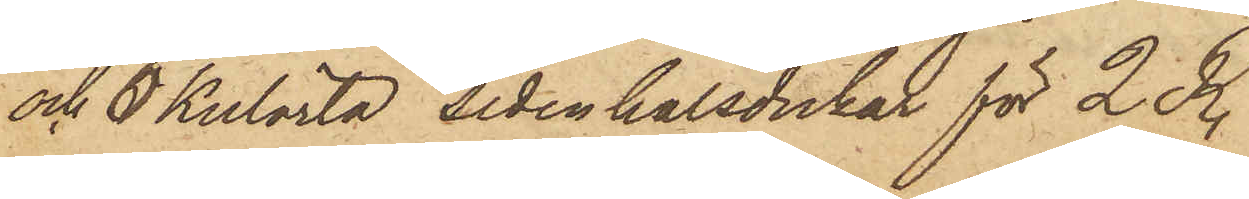och 6 Kulörta sidenhalsdukar för 2 R.
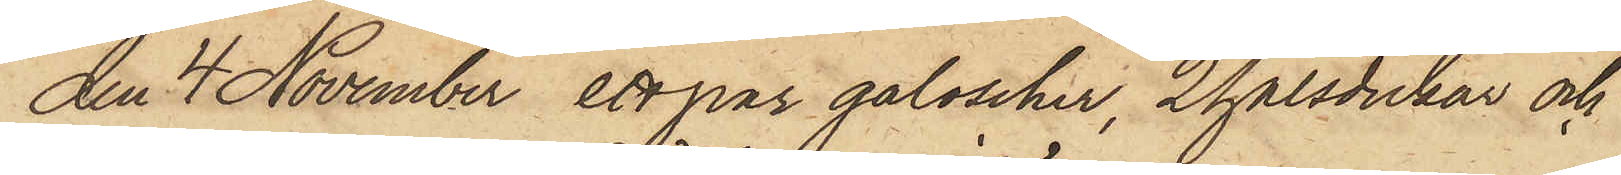den 4 November ett par galoscher, 2 halsdukar och
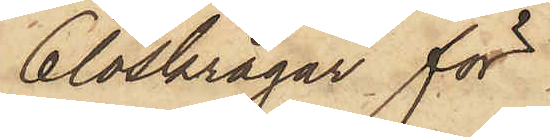6 löskragar för
